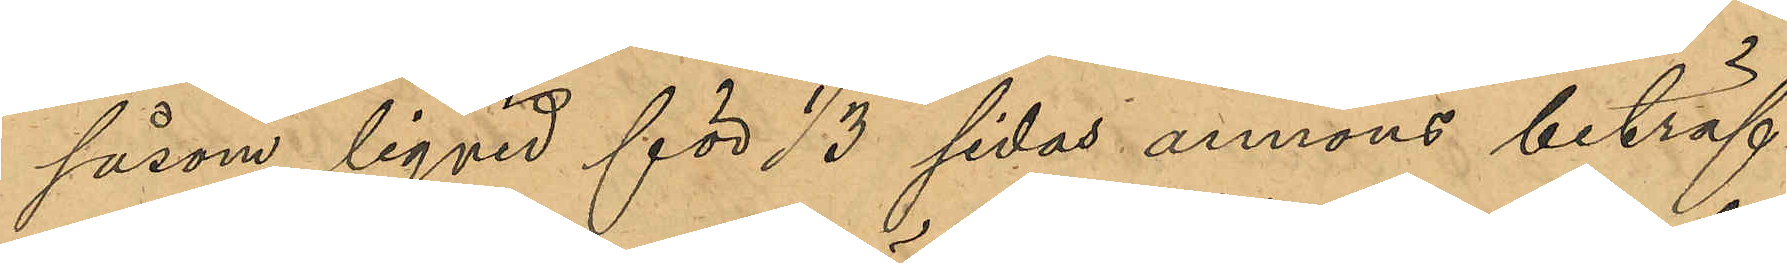såsom liqvid för 1/3 sidas annons beträf¬
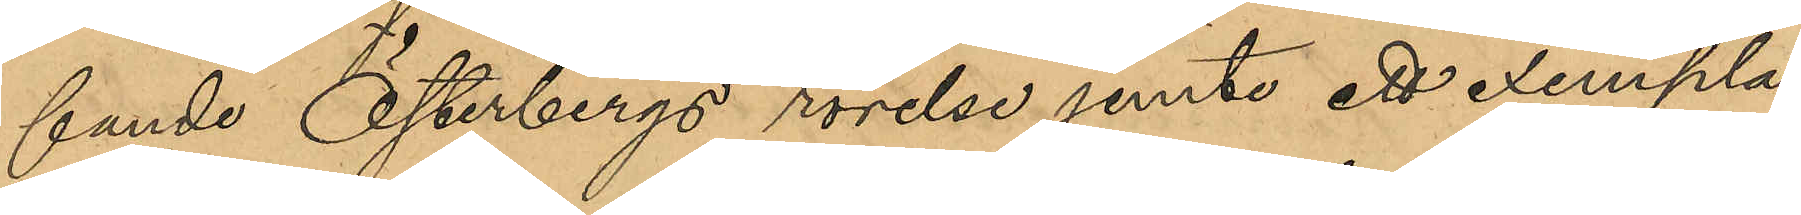fande Österbergs rörelse jemte ett exemplar
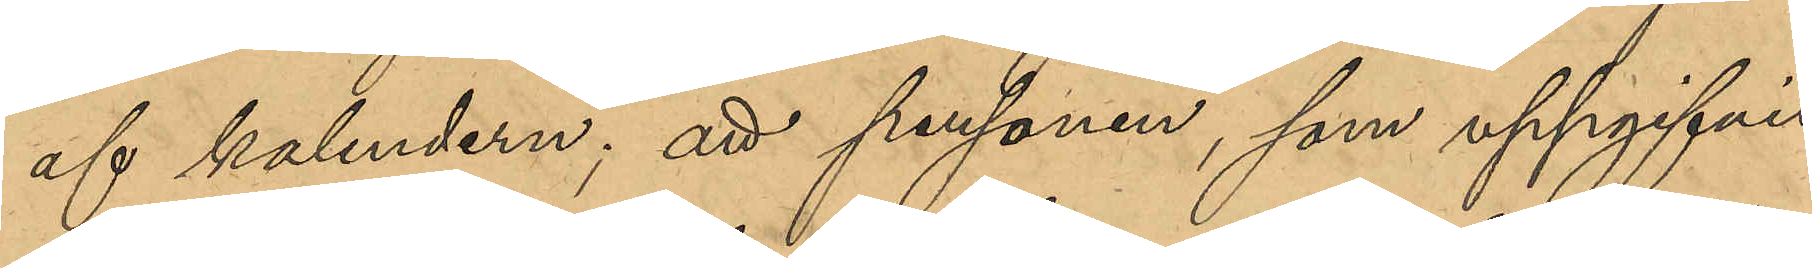af kalendern; att personen som uppgifvit
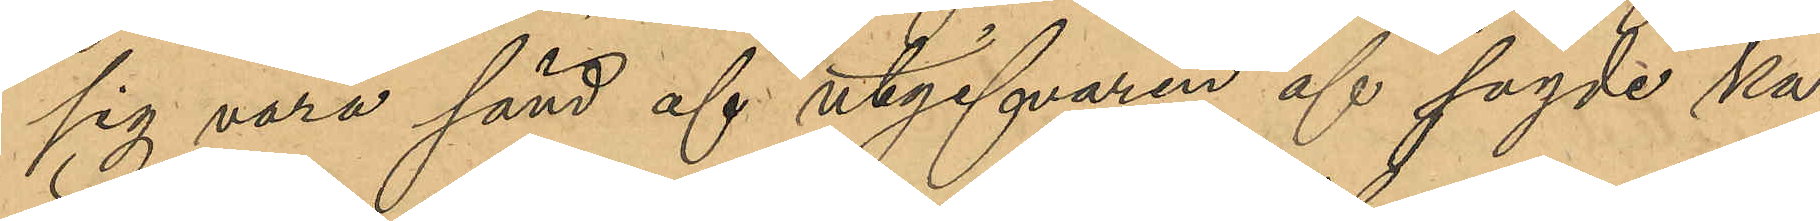sig vara sänd af utgifvaren af sagde ka¬
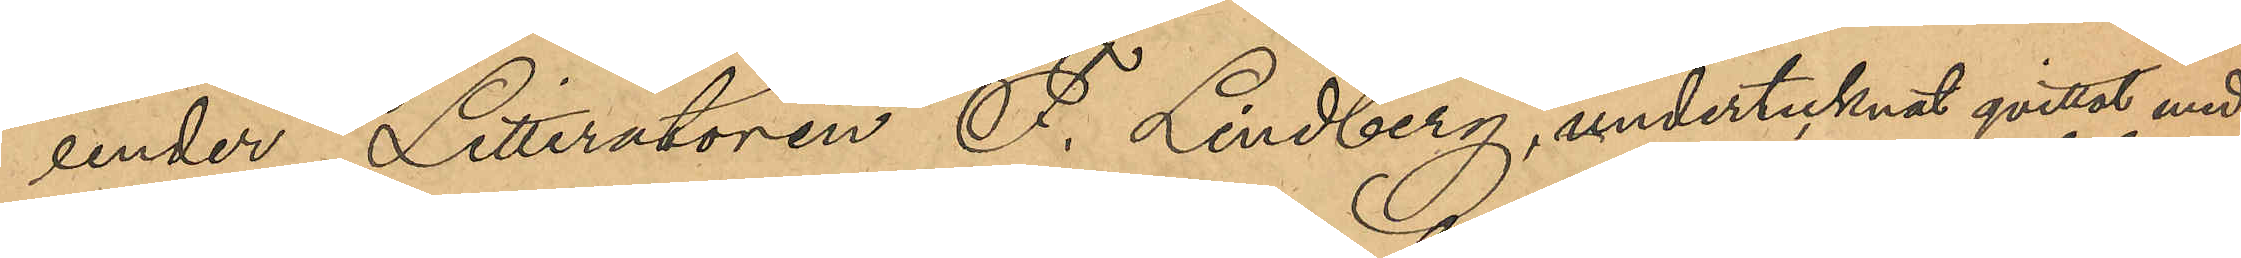ender, Litteratören F. Lindberg undertecknat qvittot med
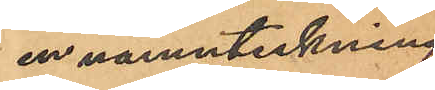en namnteckning
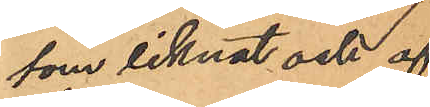som liknat och af
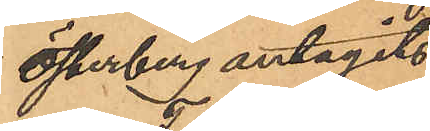Österberg antagits
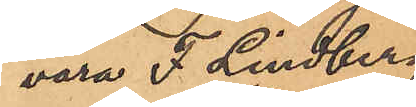vara F. Lindberg,
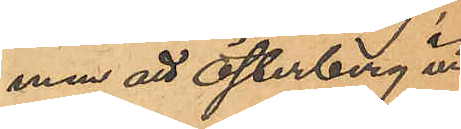men att Österberg vid 
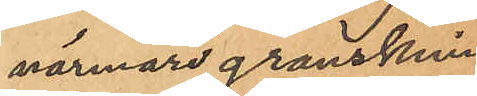närmare granskning
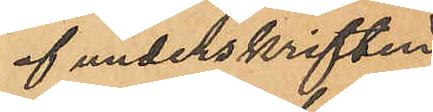af underskriften
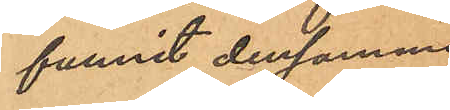funnit densamma
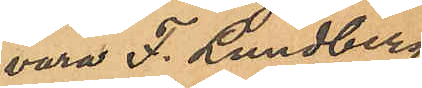vara F. Lundberg;
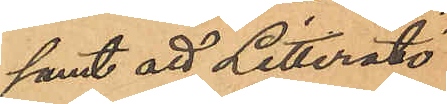samt att Litteratö¬
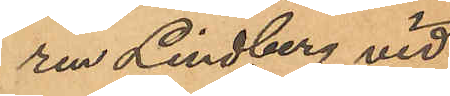ren Lindberg vid
